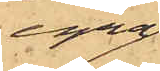egna
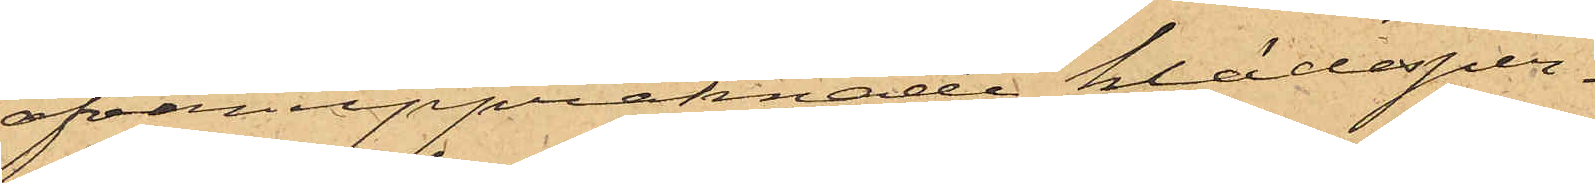ofvanuppräknade klädesper¬
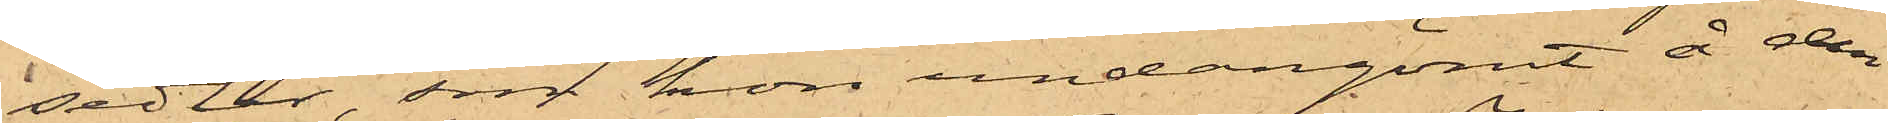sedlar, som hon undangömt å den
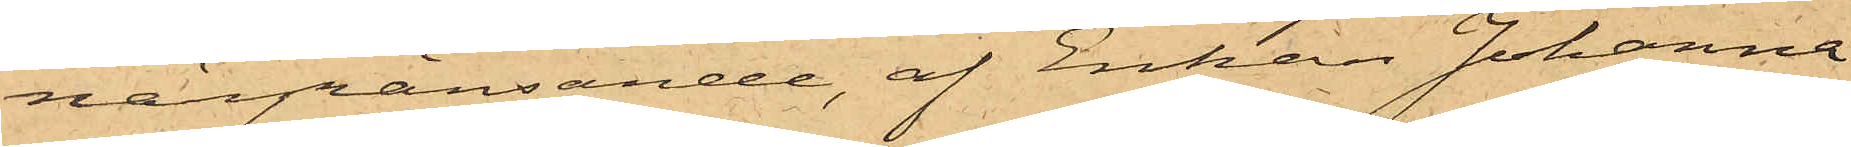närgränsande, af Enkan Johanna
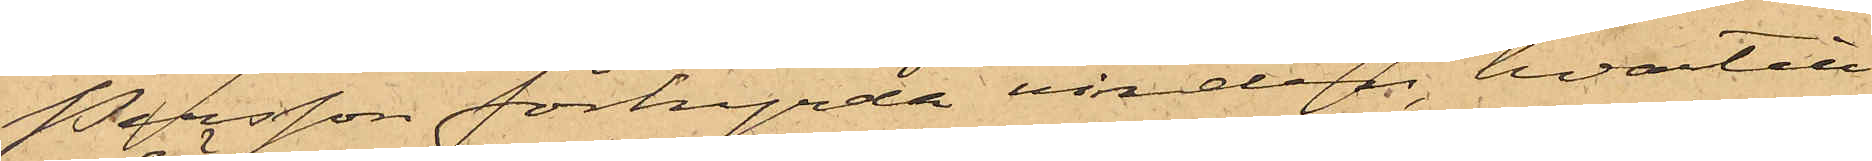Persson förhyrda vinden, hvartill
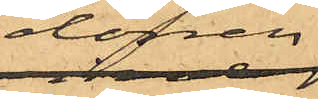dörren
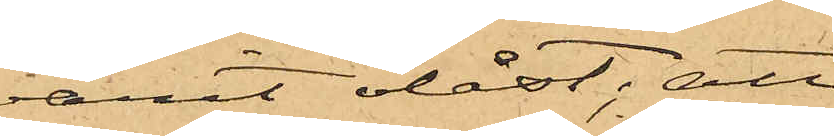varit olåst; att
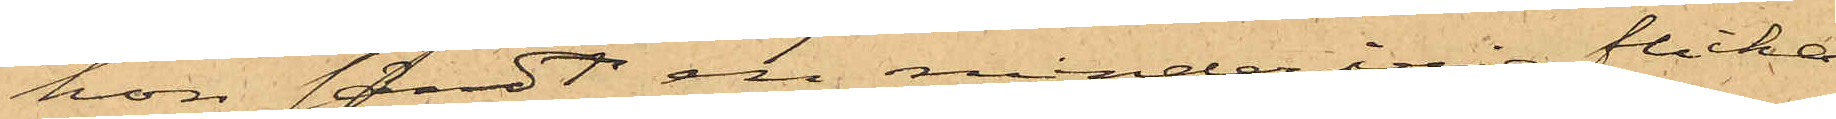hon sändt en minderårig flicka,
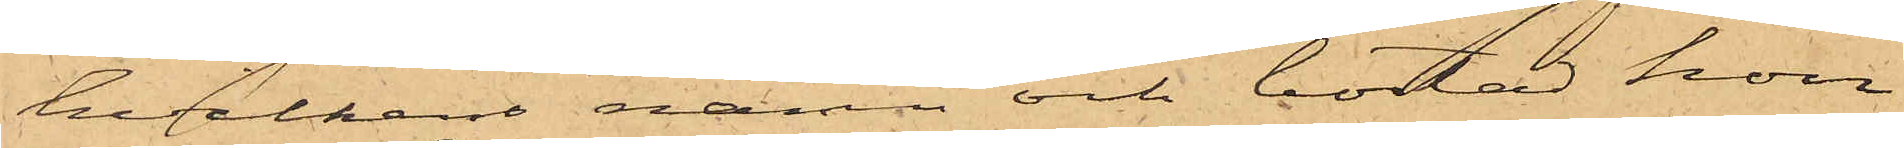hvilkens namn och bostad hon
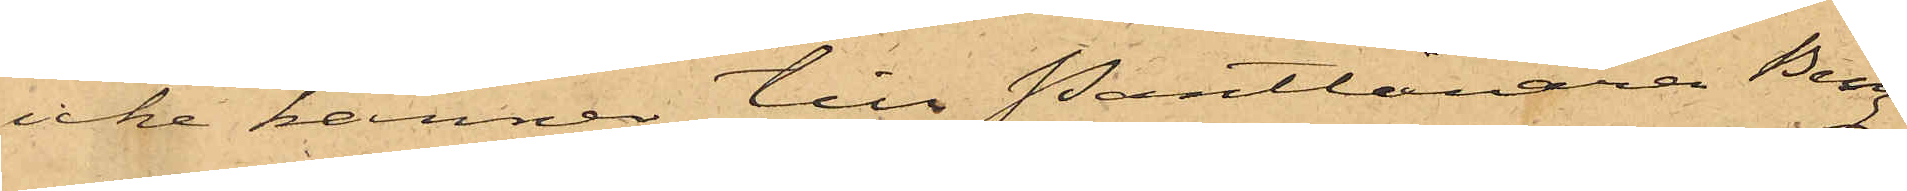icke känner till Pantlånaren Berg
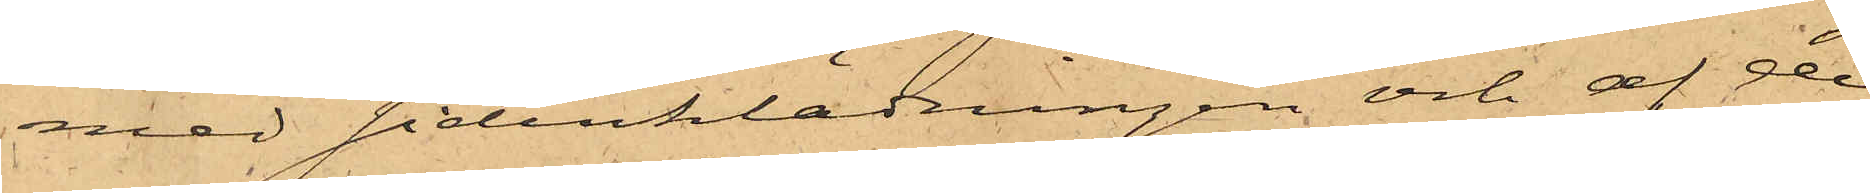med sidenklädningen och af de
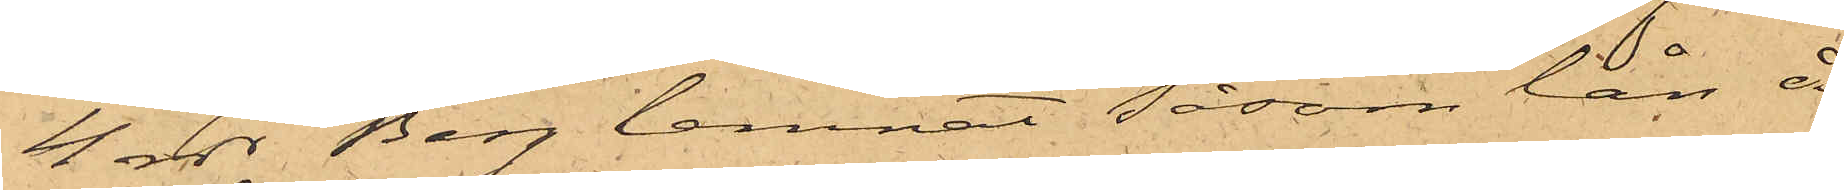4 rdr Berg lemnat såsom lån å
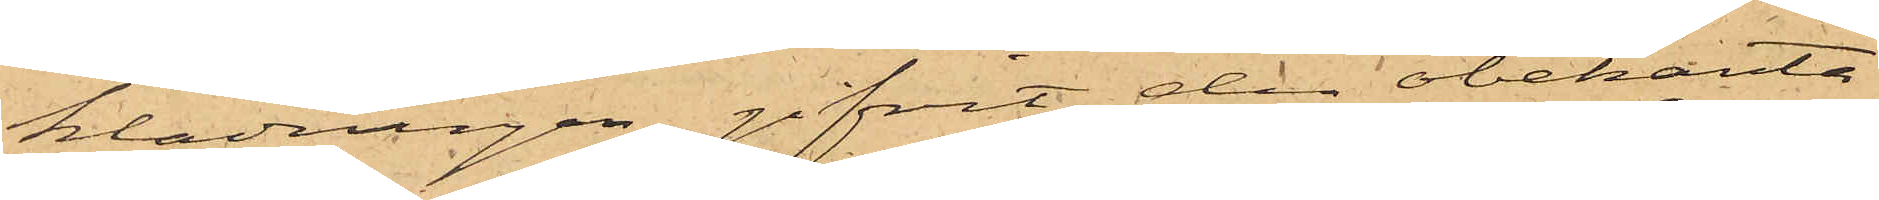klädningen gifvit den obekanta
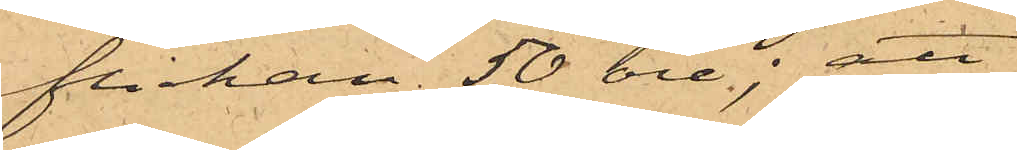flickan 50 öre; att
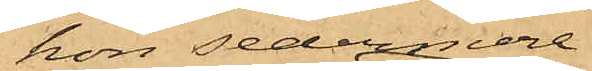hon sedermera
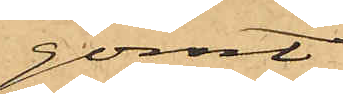gömt
